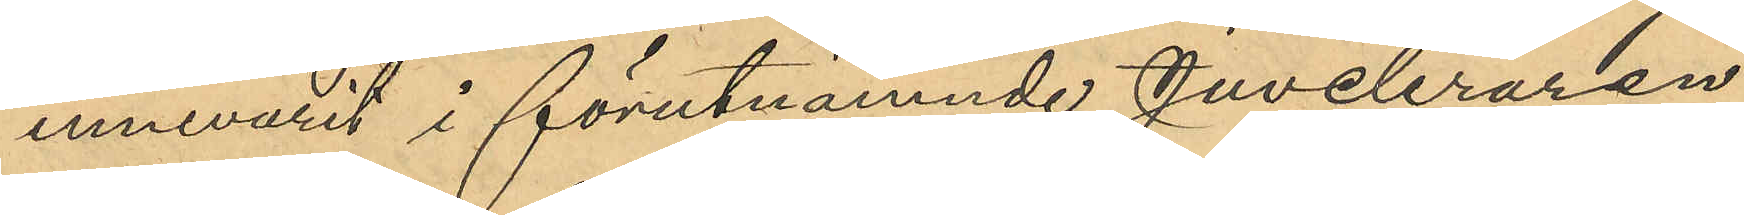innevarit i förutnämnde Juveleraren
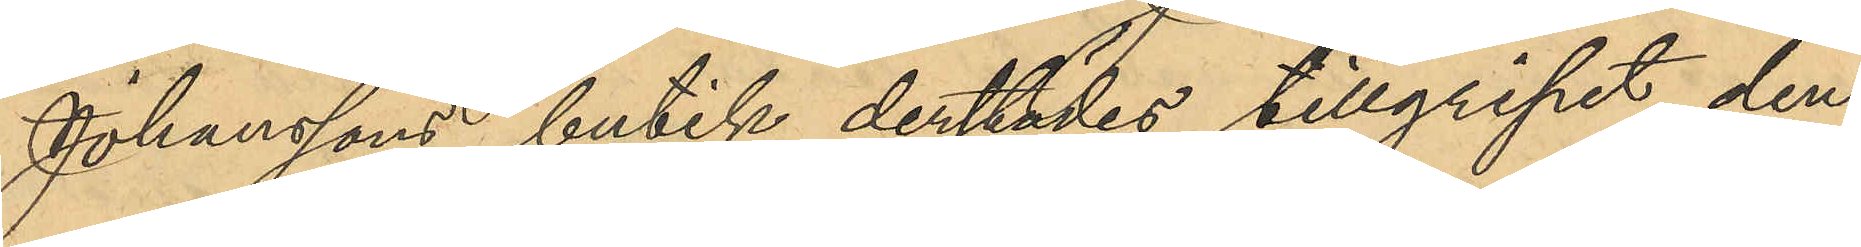Johanssons butik derstädes tillgripit den
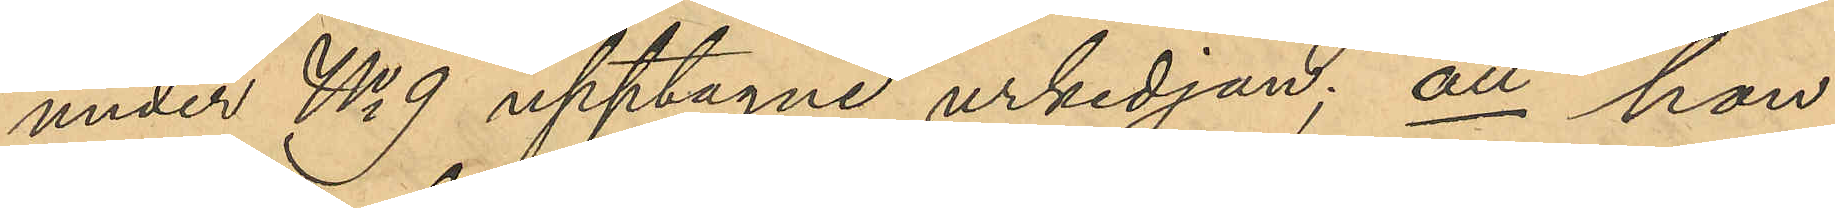under No 9 upptagne urkedjan; att hon
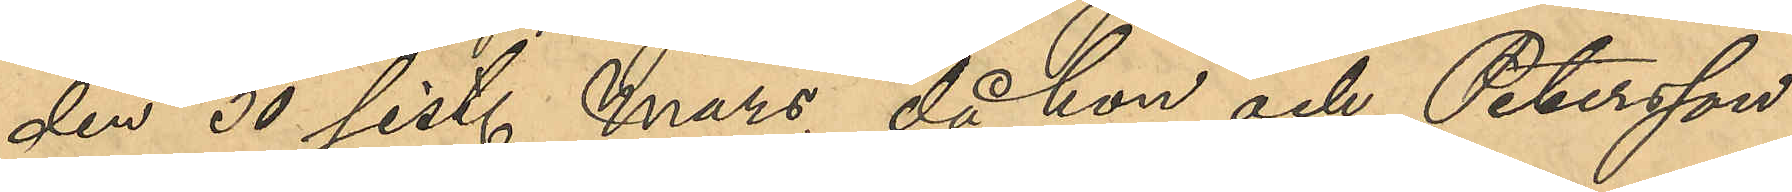den 30 sist. Mars, då hon och Petersson
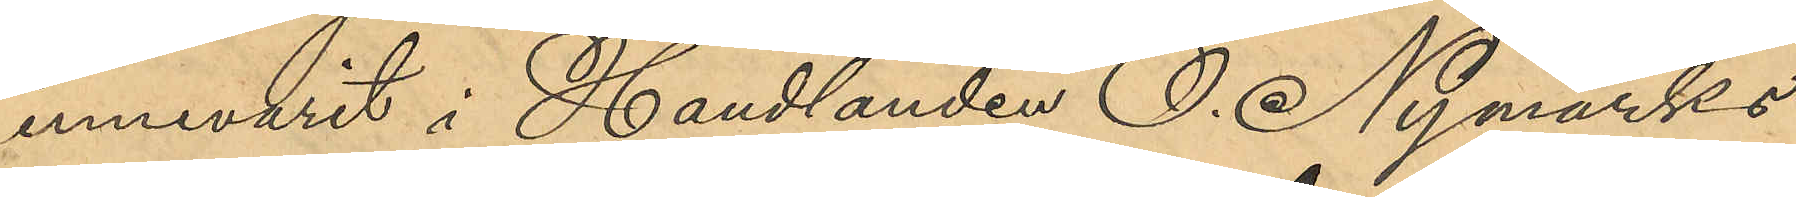innevarit i Handlanden O. Nymarks
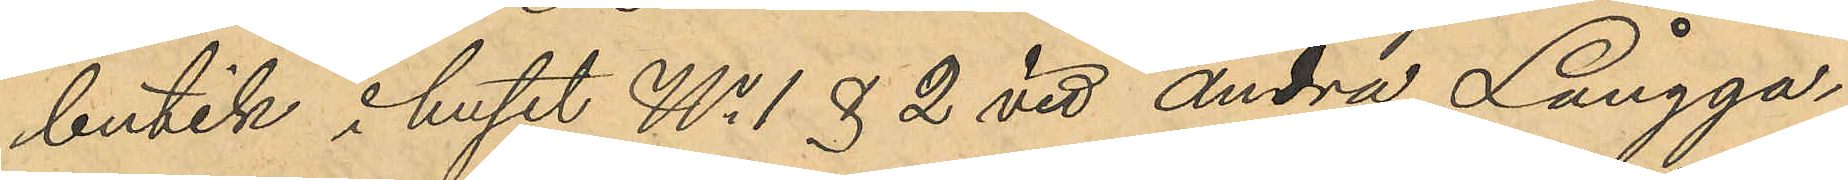butik i huset No 1 & 2 vid Andra Långga¬
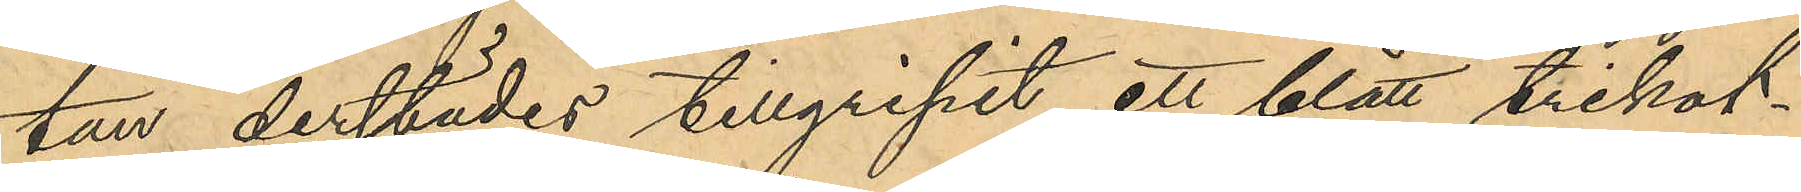tan derstädes tillgripit ett blått trikot¬
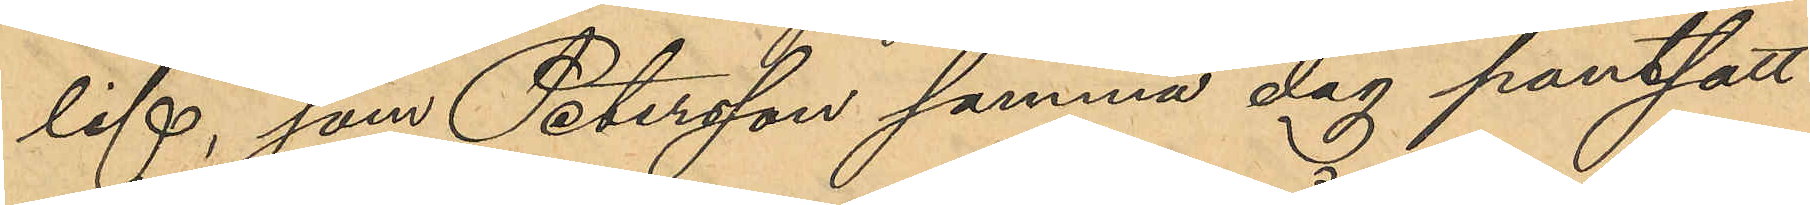lif, som Petersson samma dag pantsatt
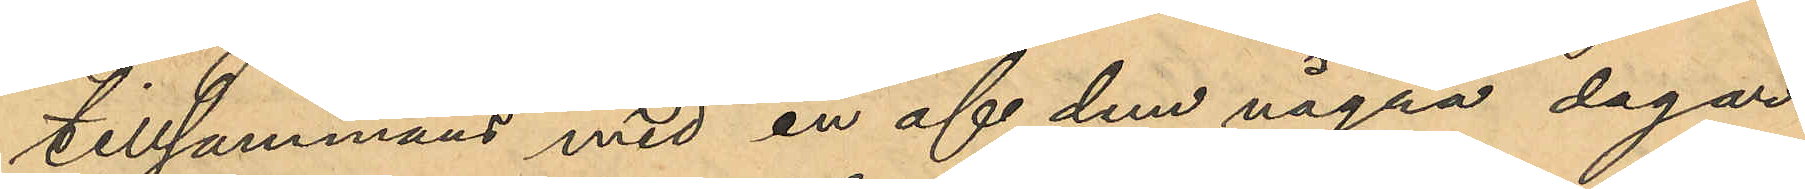tillsammans med en af dem några dagar
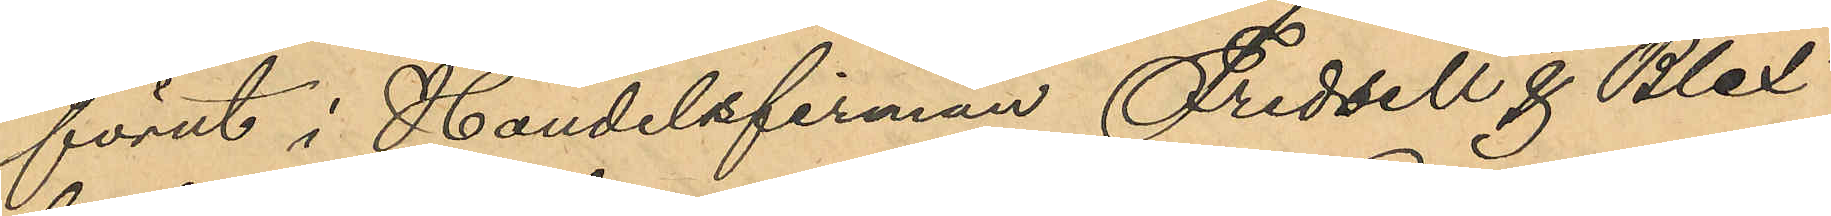förut i Handelsfirman Fredsell & Blix´
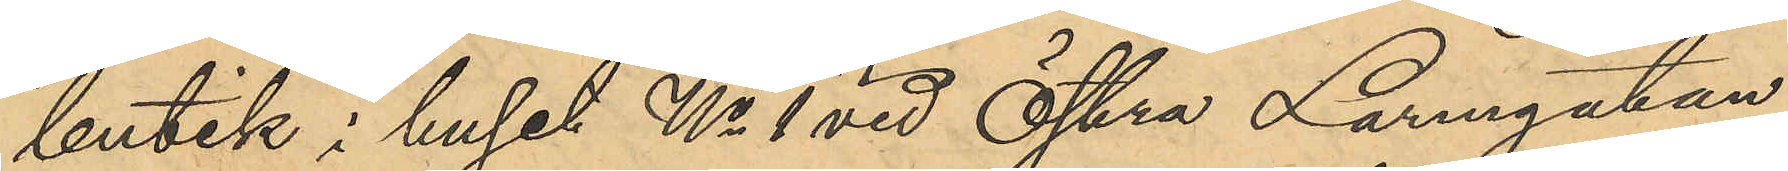butik i huset No 1 vid Östra Larmgatan
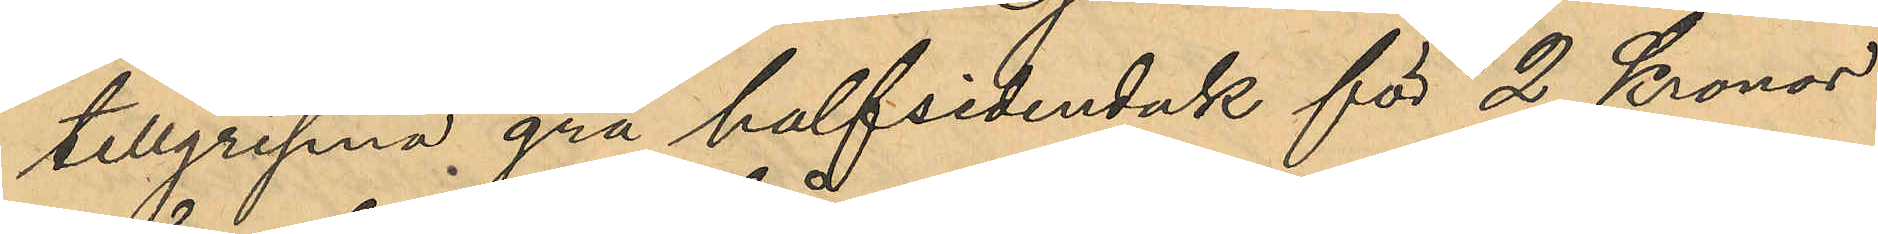tillgripna grå halfsidenduk för 2 Kronor
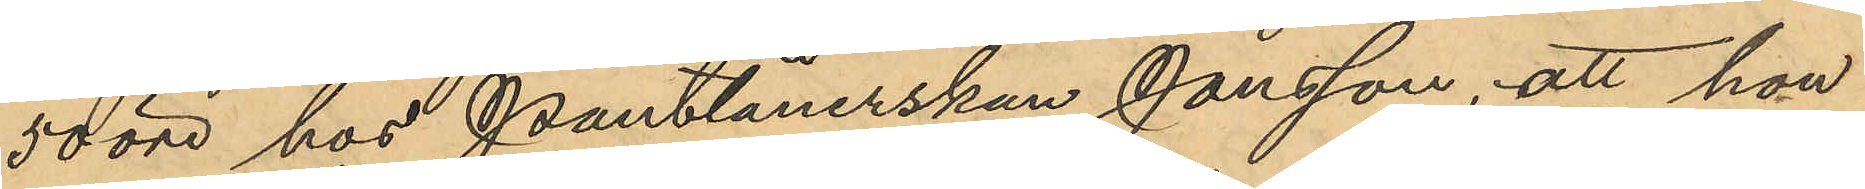50 öre hos Pantlånerskan Jonsson; att hon
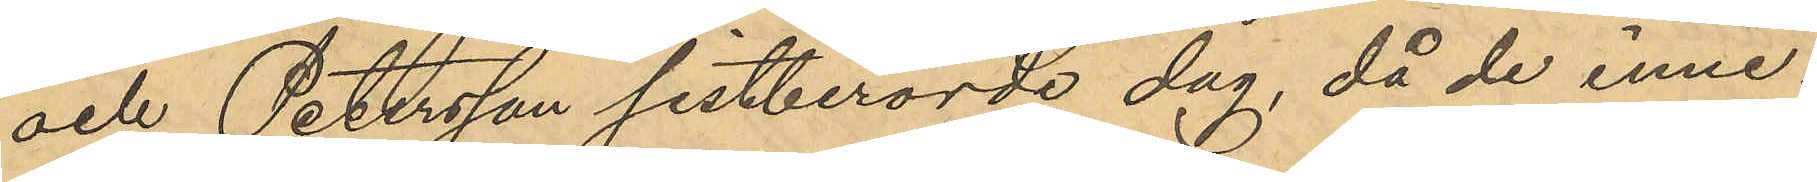och Petersson sistberörde dag, då de inne¬
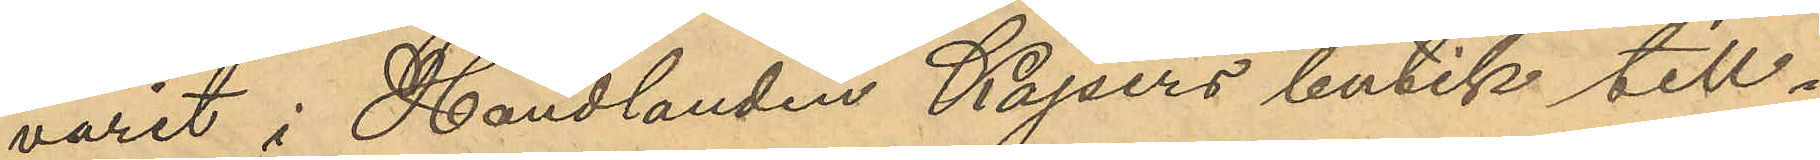varit i Handlanden Kajsers butik till¬
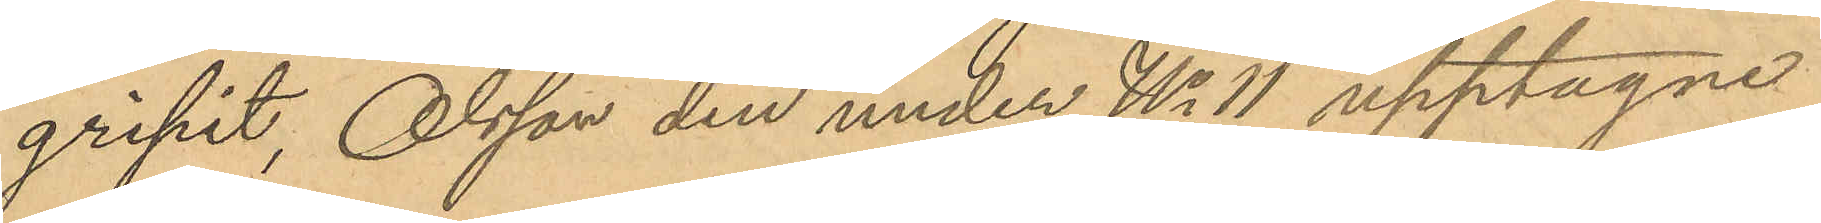gripit, Olsson den under No 11 upptagne
